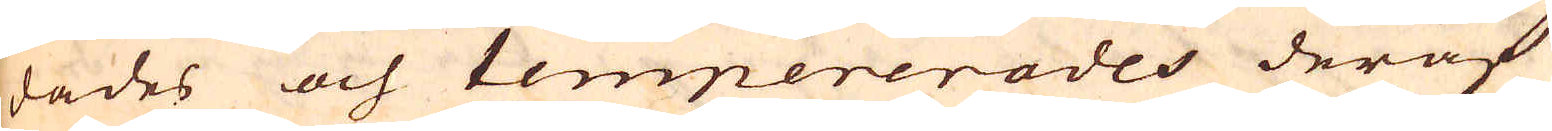dades och tempererades deraf
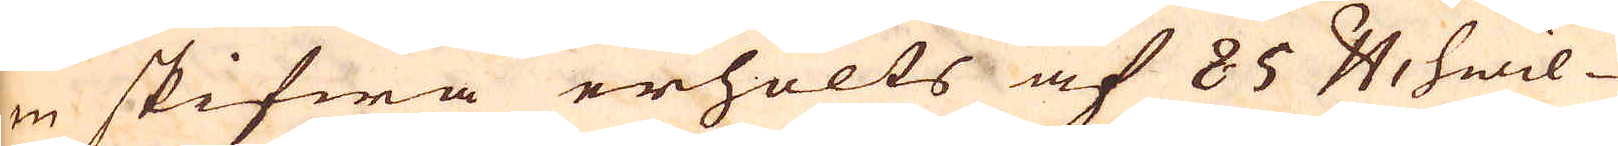en skifwa erhölts af 85 skålpund, hwil-
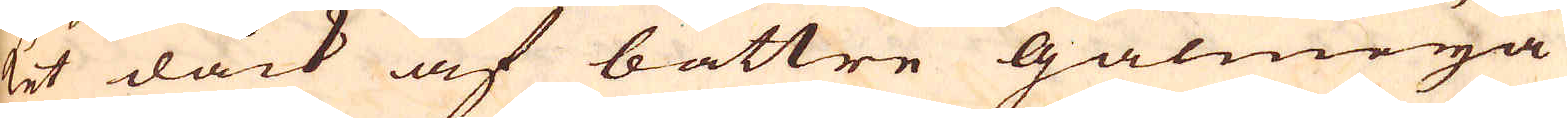ket dåck af bättre galmeija
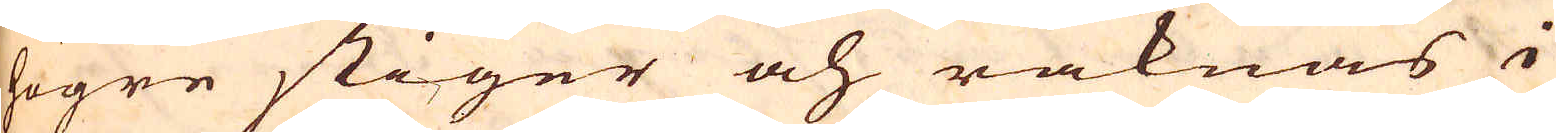högre stiger och räknas i
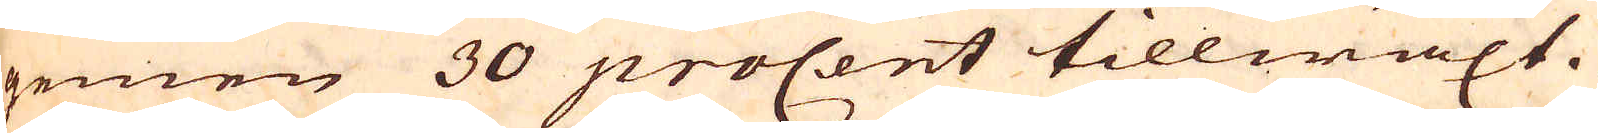gemen 30 procent tillwäxt.
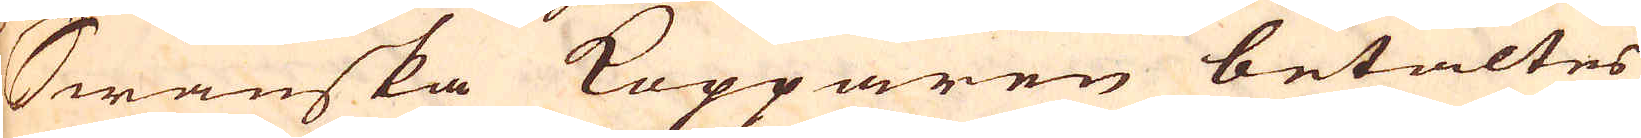Swänska Kopparen betaltes
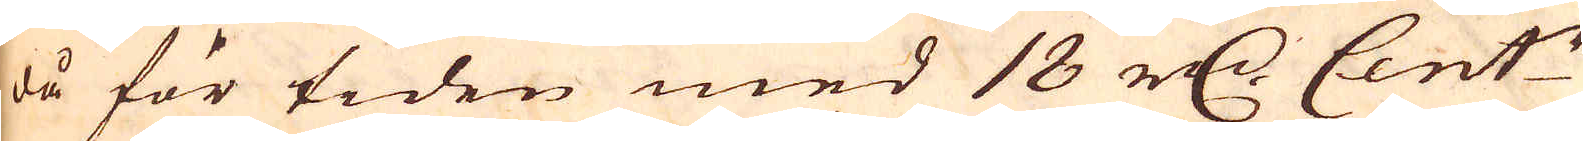då för tiden med 18 r:dr Cent:r
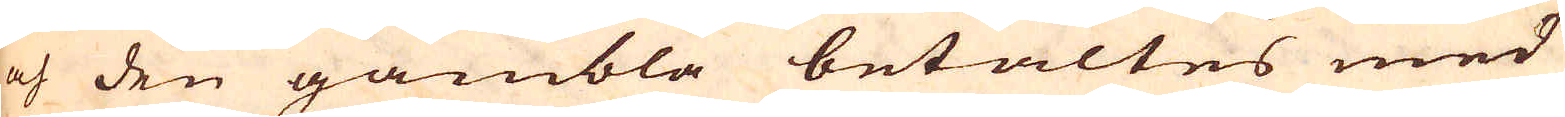och den gambla betaltes med
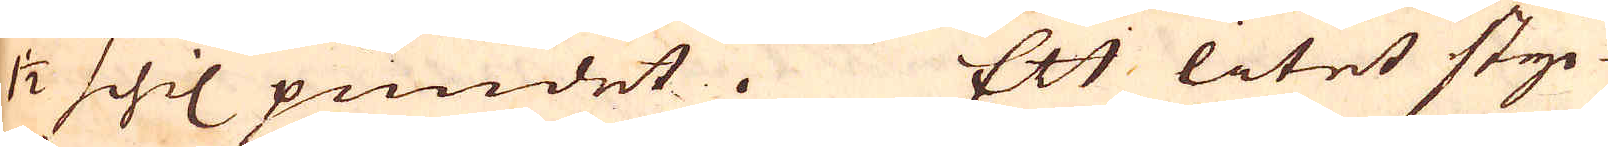1 1/2 schil pundet. Ett litet styc-
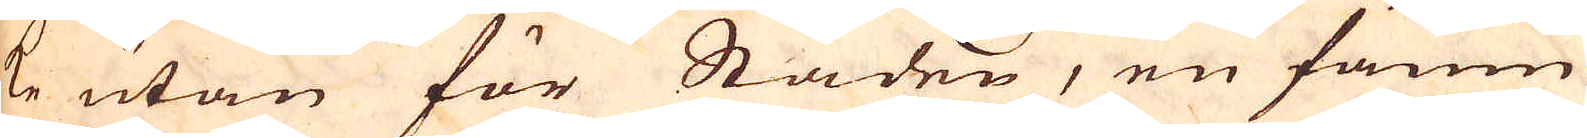ke utan för Staden, en famn
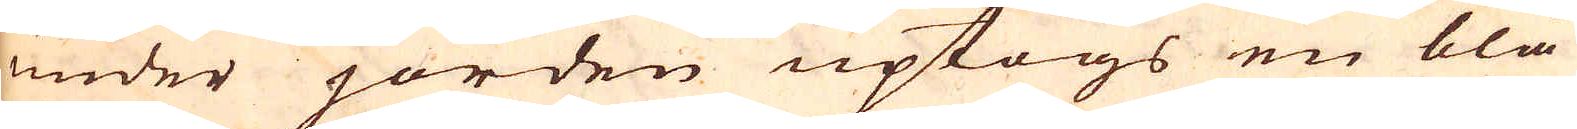under jorden uptogs en blå
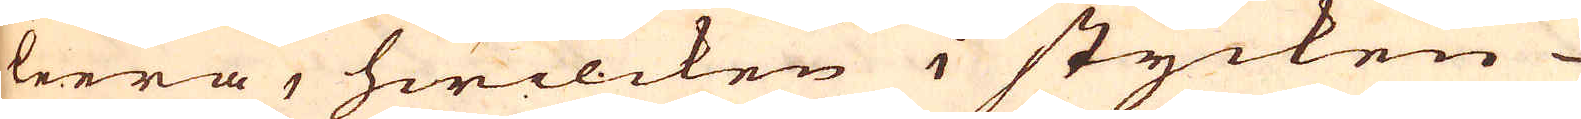leera, hwilcken i stycken
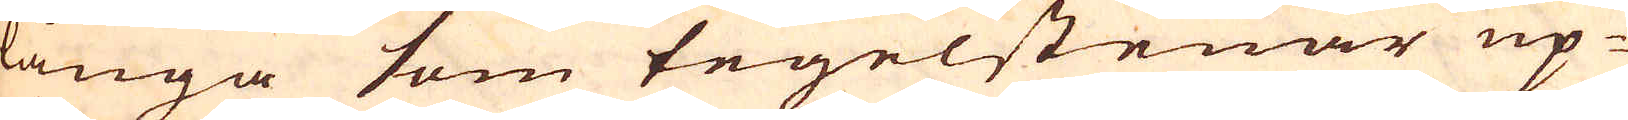långa som tegelstenar up-
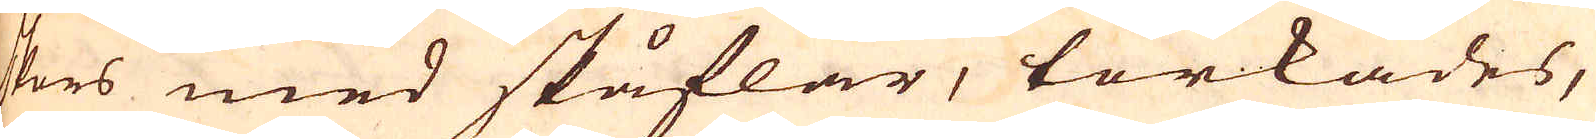skars med skåflar, torkades,
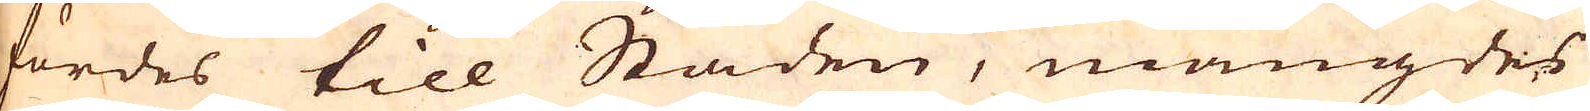fördes till Staden, mängdes
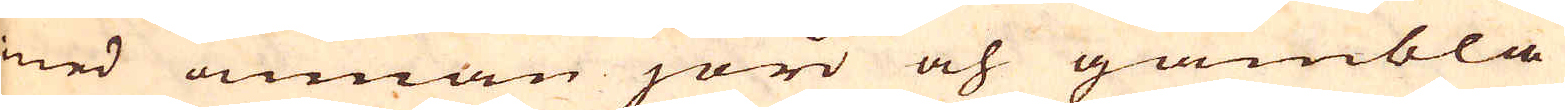med annan jord och gambla
